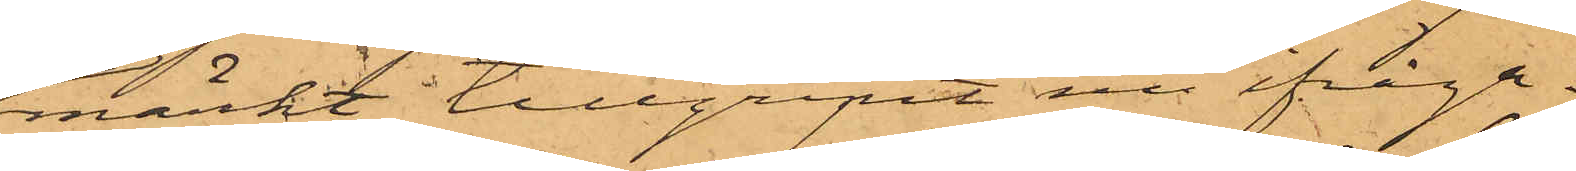märkt, tillgripit nu ifråga¬
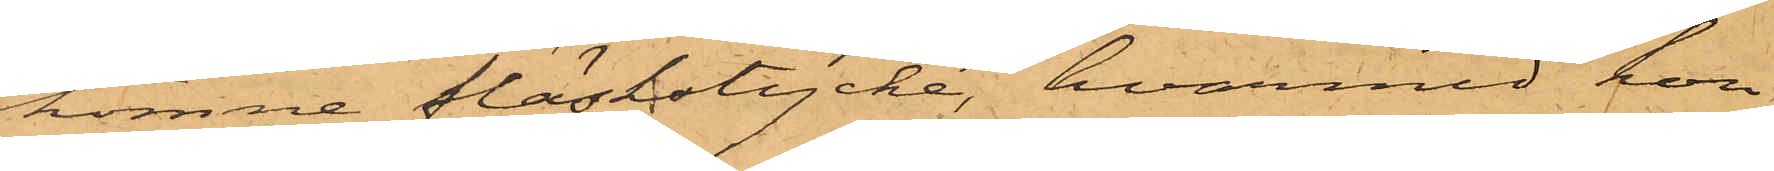komne fläskstycke, hvarmed hon
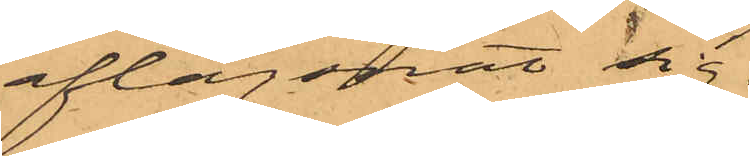aflägsnat sig.
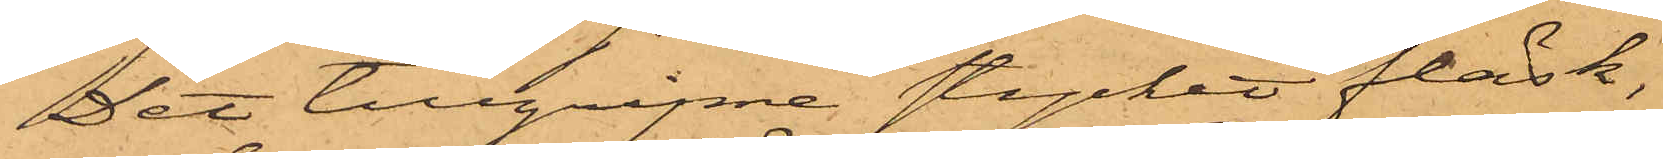Det tillgripne stycket fläsk,
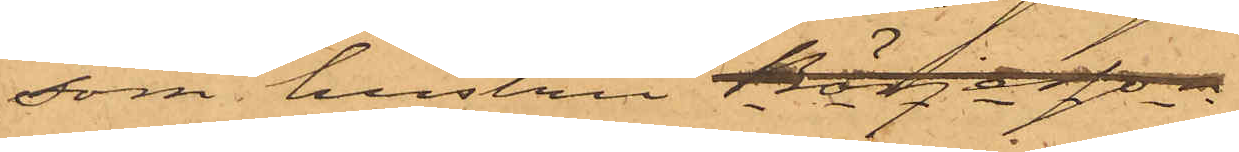som hustru Börjesson
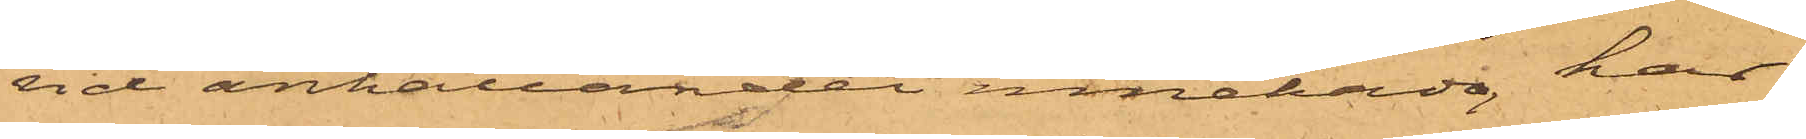vid anhållandet innehade, har
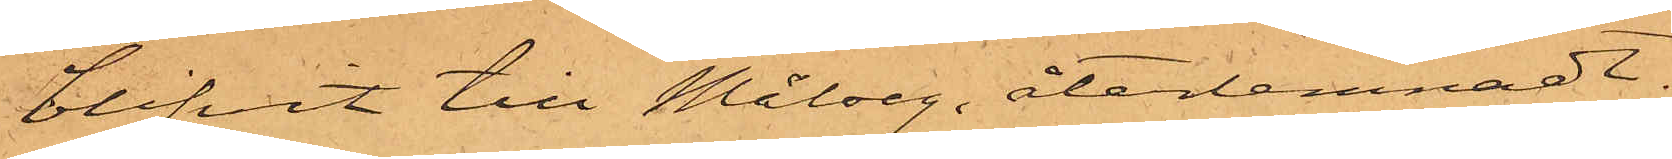blifvit till Målseg. återlemnadt.
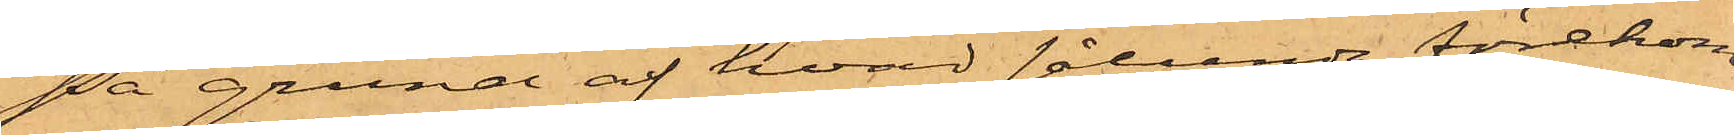På grund af hvad sålunda förekom¬
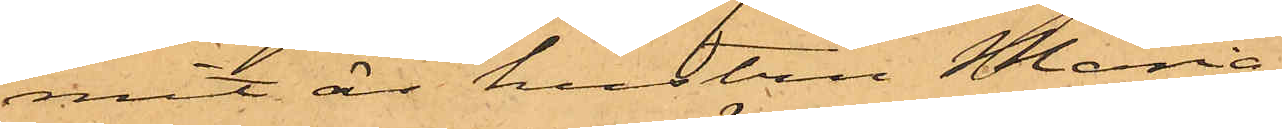mit är hustru Maria
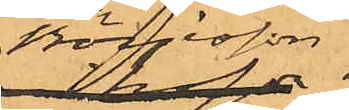Börjesson
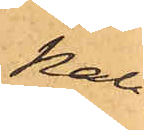kal¬
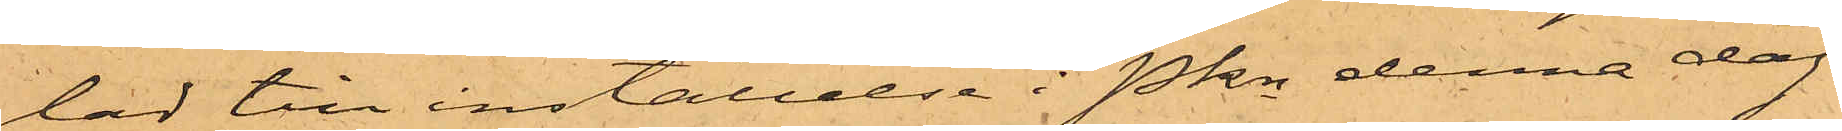lad till inställelse i Pkn denna dag
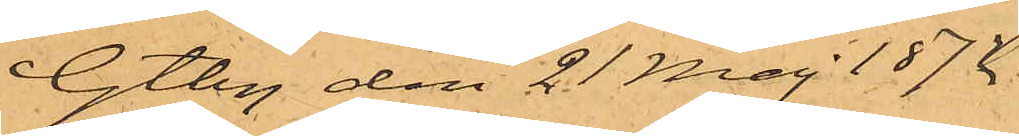Gtbg den 21 Maj 1872
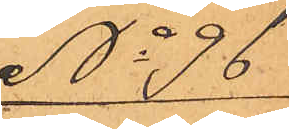No 96
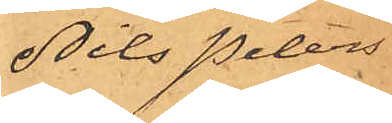Nils Peters¬
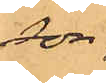son
